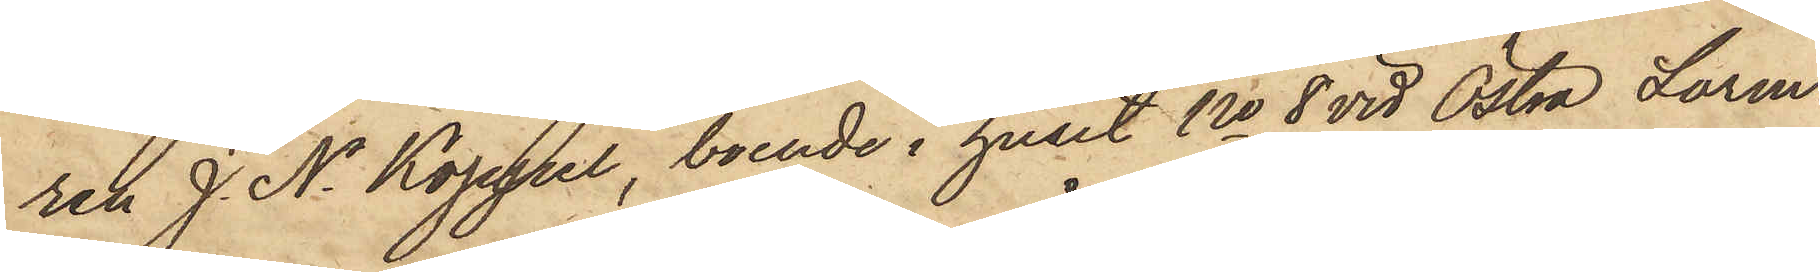ren J. N. Koppel, boende i huset No 8 vid Östra Larm¬
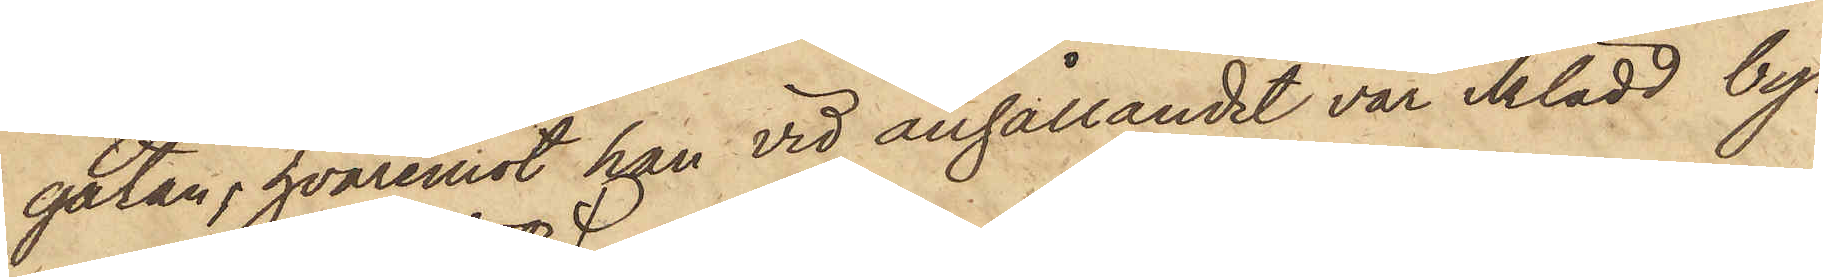gatan, hvaremot han vid anhållandet var iklädd by¬
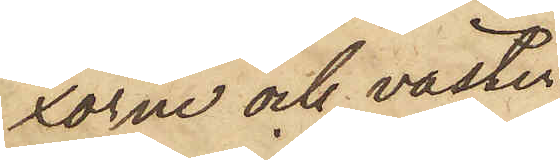xorne och västen;
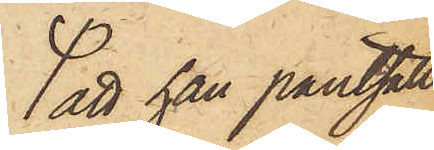att han pantsatt
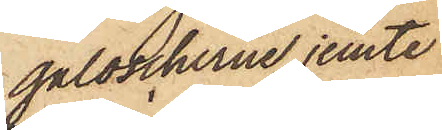galoscherne jemte
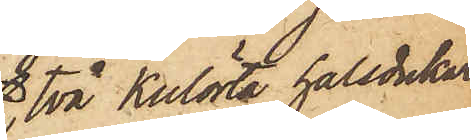två Kulörta halsdukar
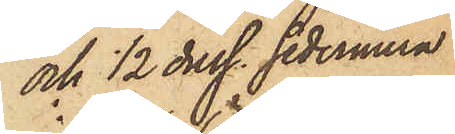och 1/2 duss. sedermera
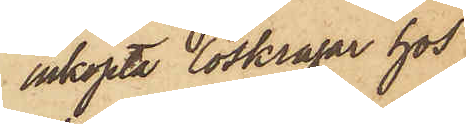inköpta löskragar hos
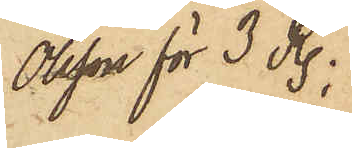Olsson för 3 R.;
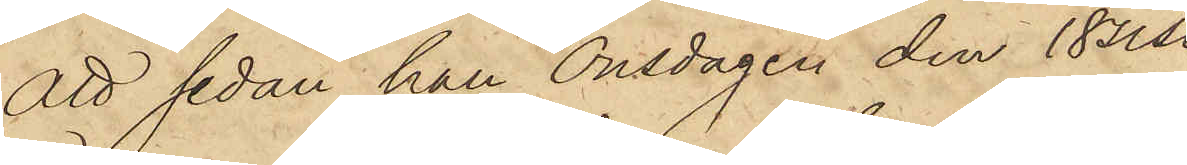att sedan han Onsdagen den 18 sist.
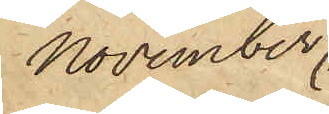November,
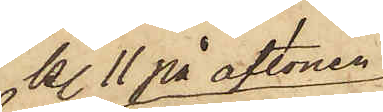kl. 11 på aftonen,
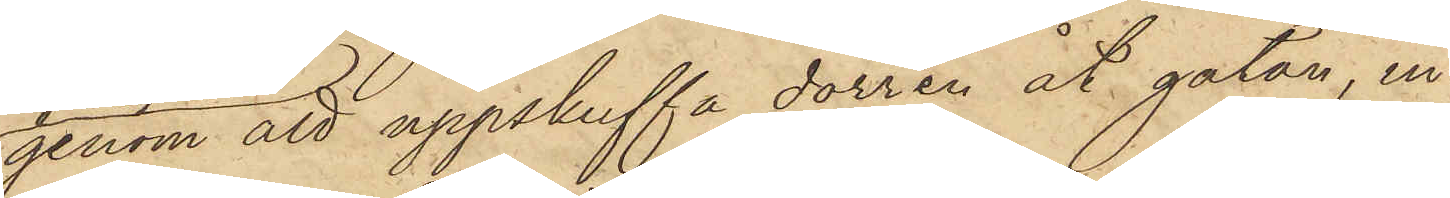genom att uppskuffa dörren åt gatan, in¬
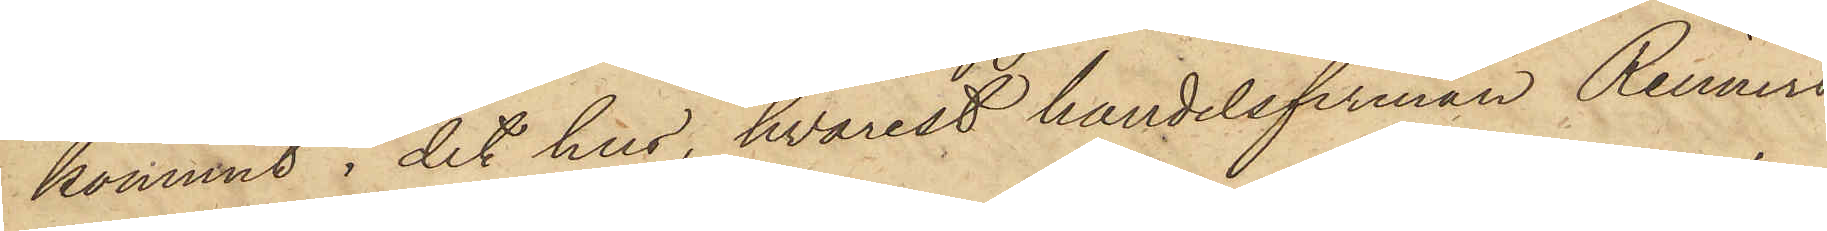kommit i det hus, hvarest handelsfirman Reimers
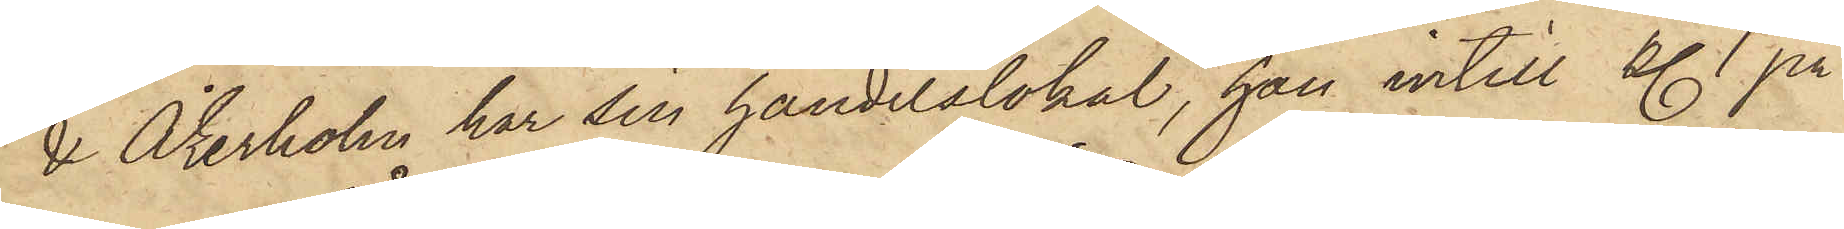& Åkerholm har sin handelslokal, han intill kl. 1 på
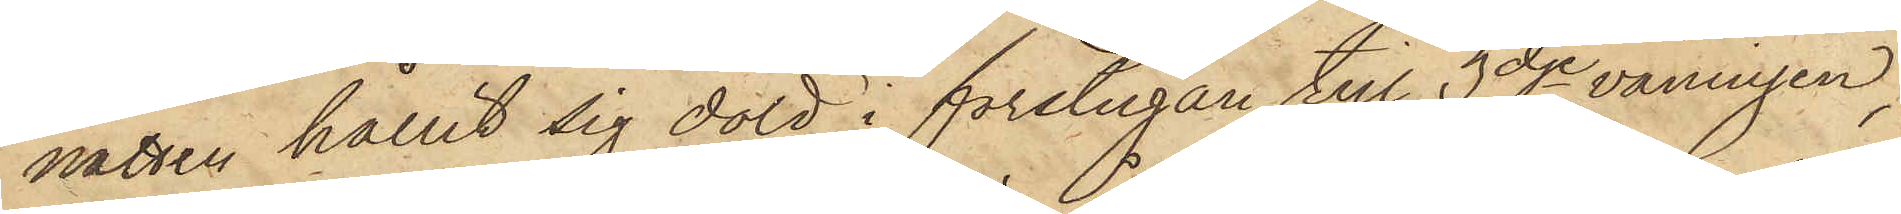natten hållit sig dold i förstugan till 3dje våningen,
